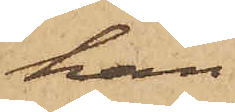han
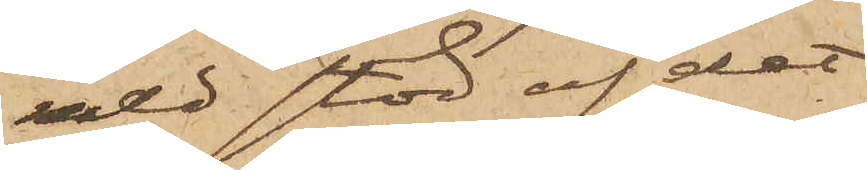med stöd af det
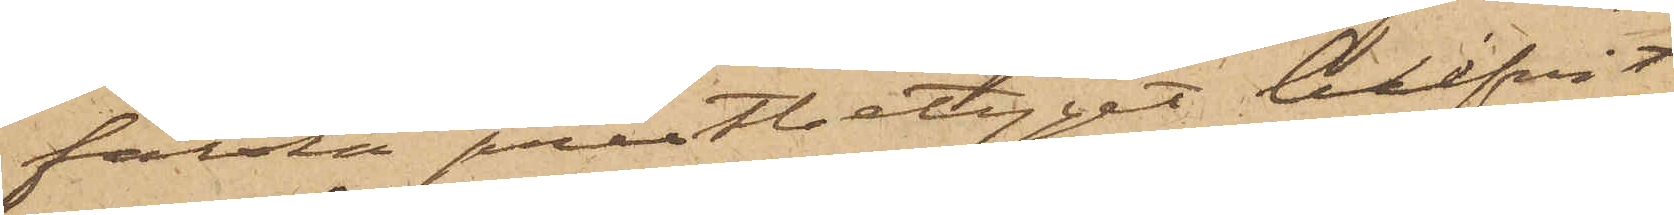falska prestbetyget blifvit
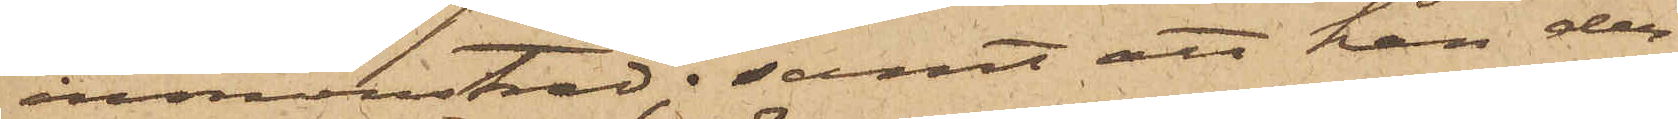inmönstrad; samt att han der¬
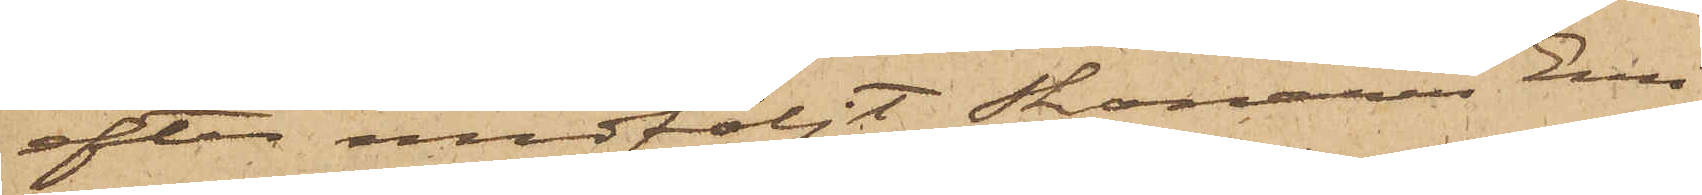efter medföljt Skonaren Emi¬
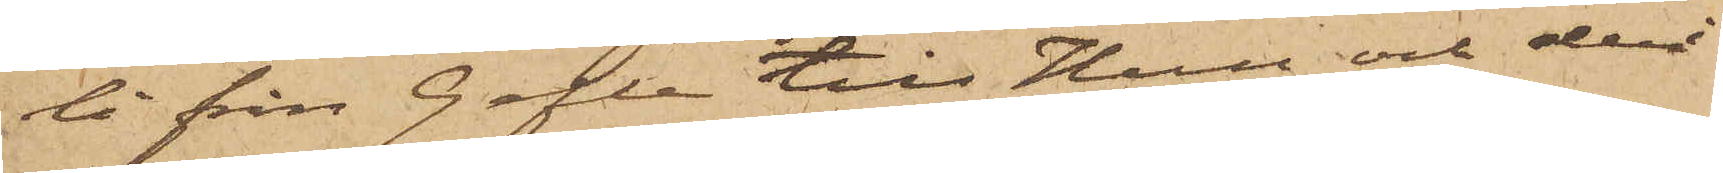li från Gefle till Hull och deri¬
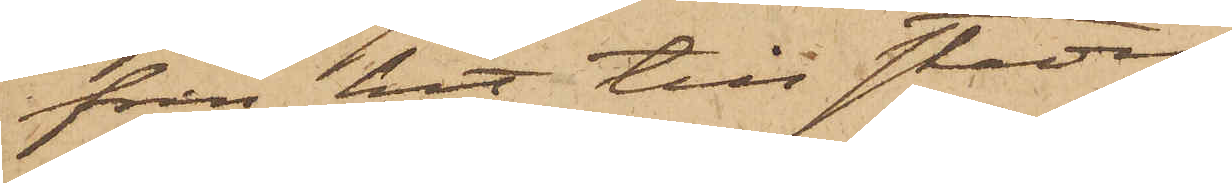från hit till staden.
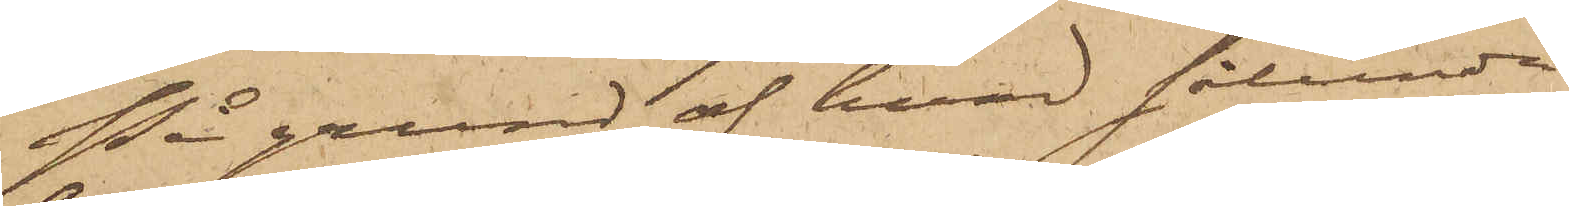På grund af hvad sålunda
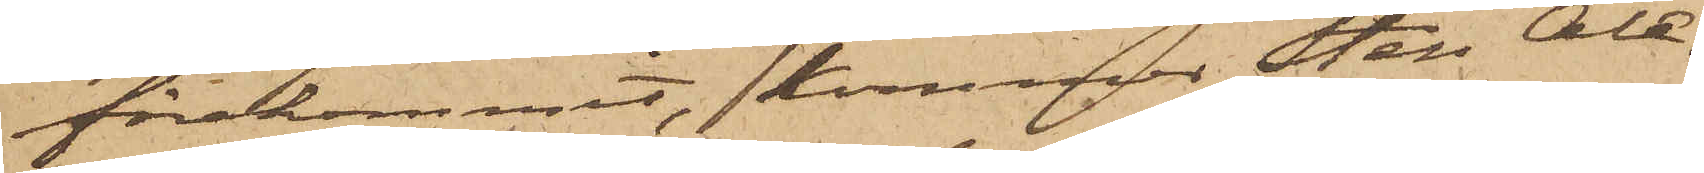förekommit, kommer Sten Ale¬
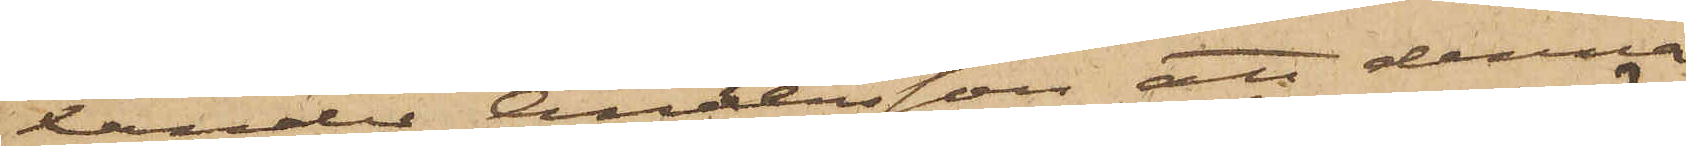xander Andersson att denna
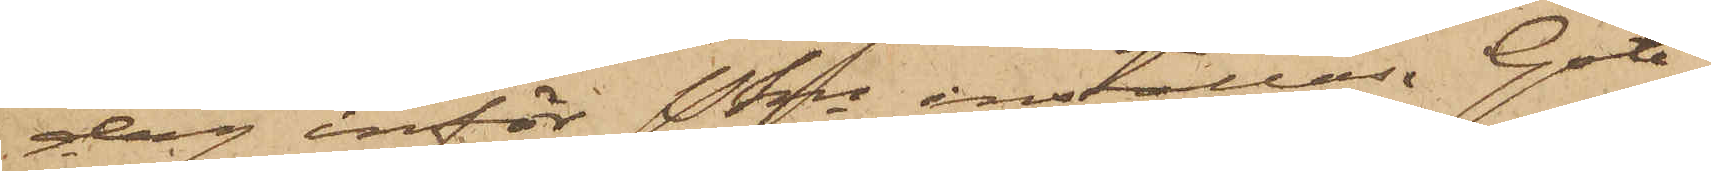dag inför Pkn inställas. Göte¬
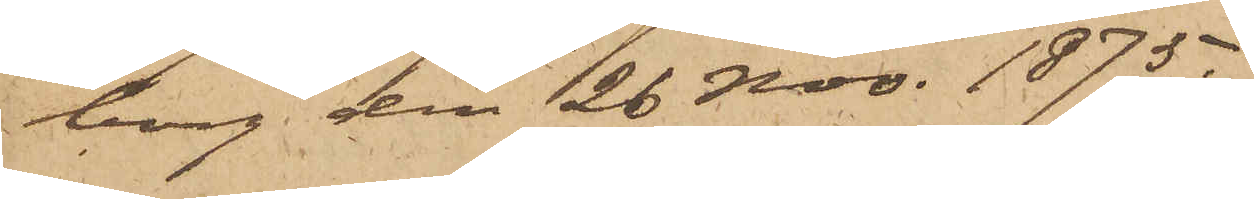borg den 26 Nov. 1875.
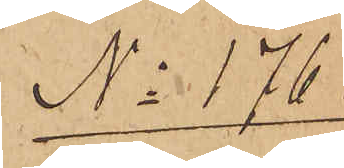No 176.
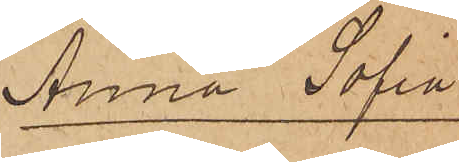Anna Sofia
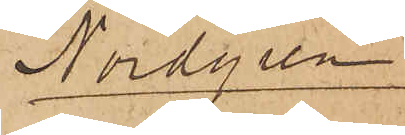Nordgren
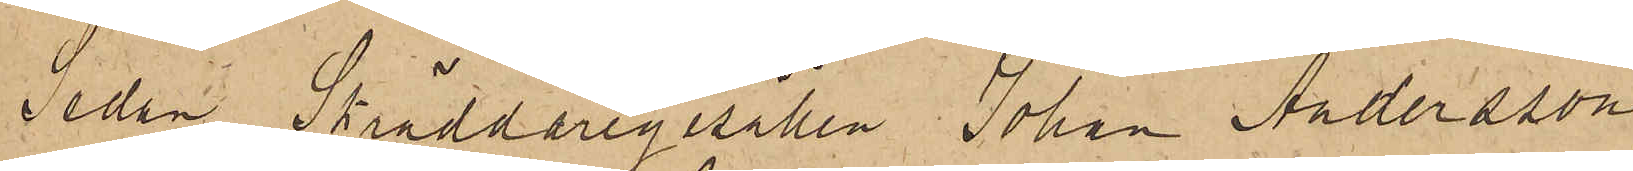Sedan Skräddaregesällen Johan Andersson
